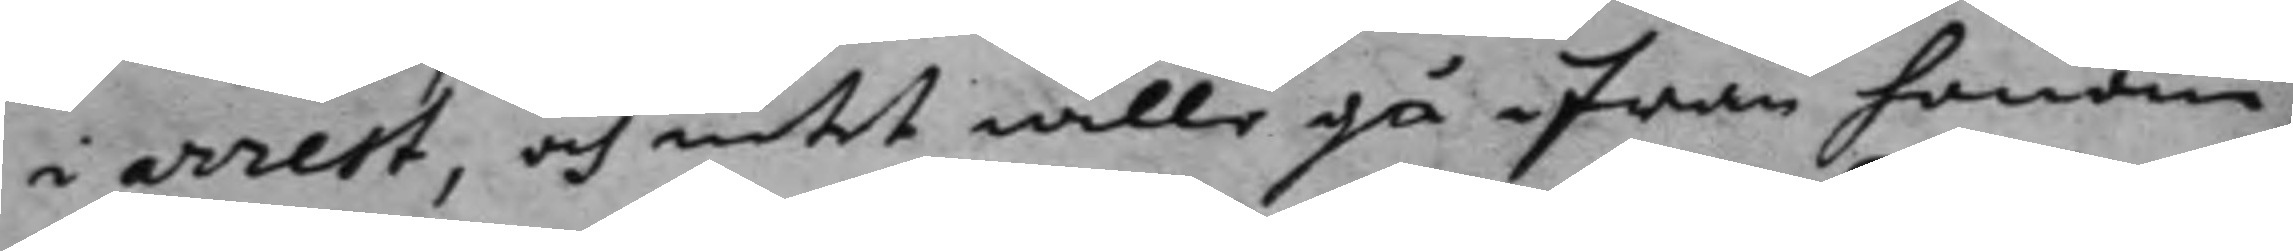i arrest, och intet wille gå ifrån honom;
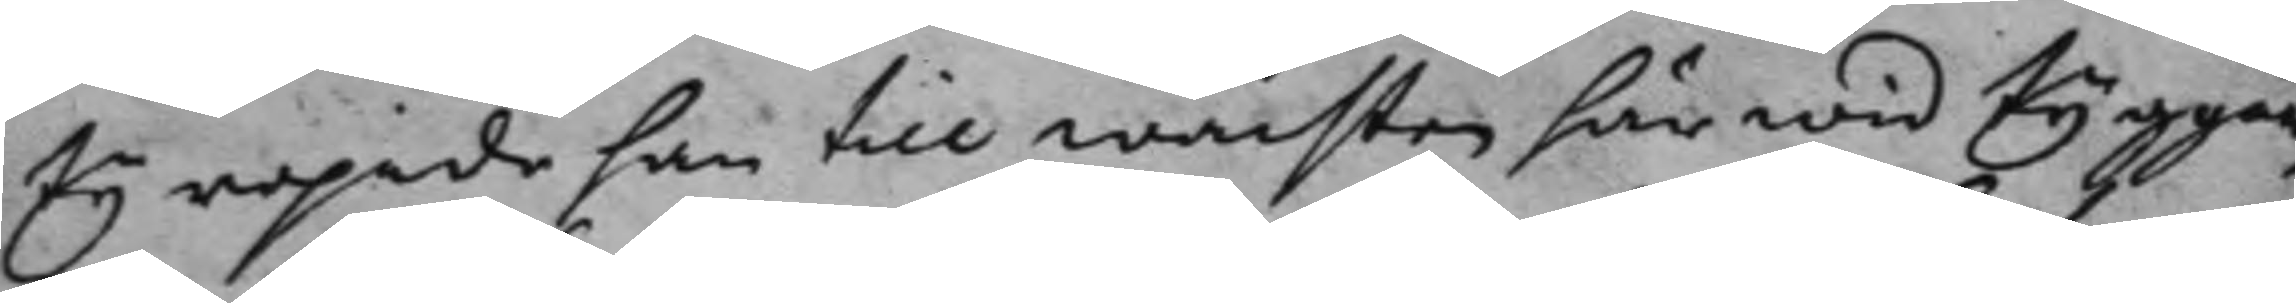ty ropade han till wachten här wid tyggår¬
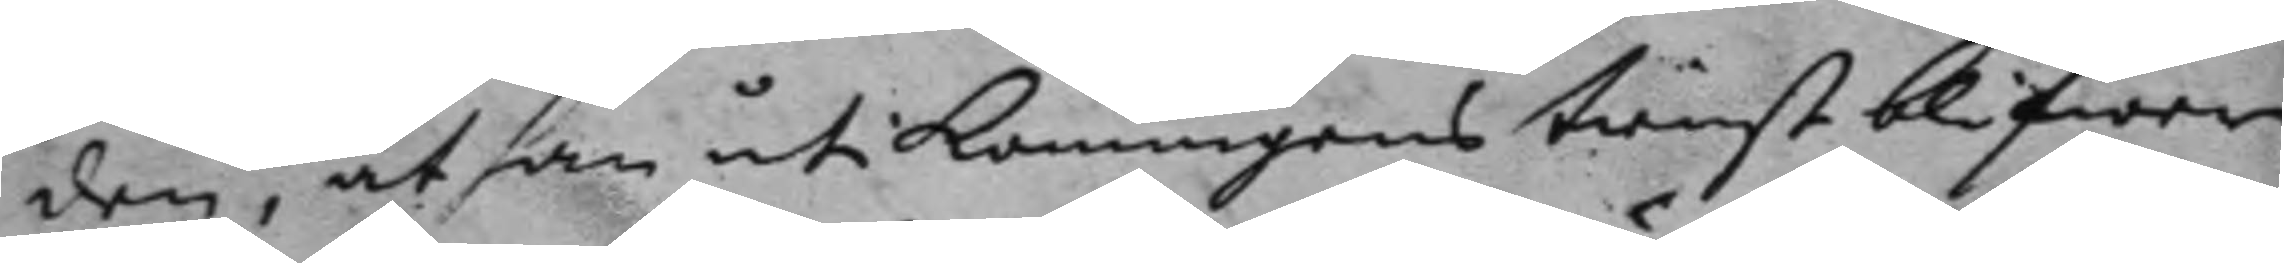den, at han uti konunens tienst blifwer
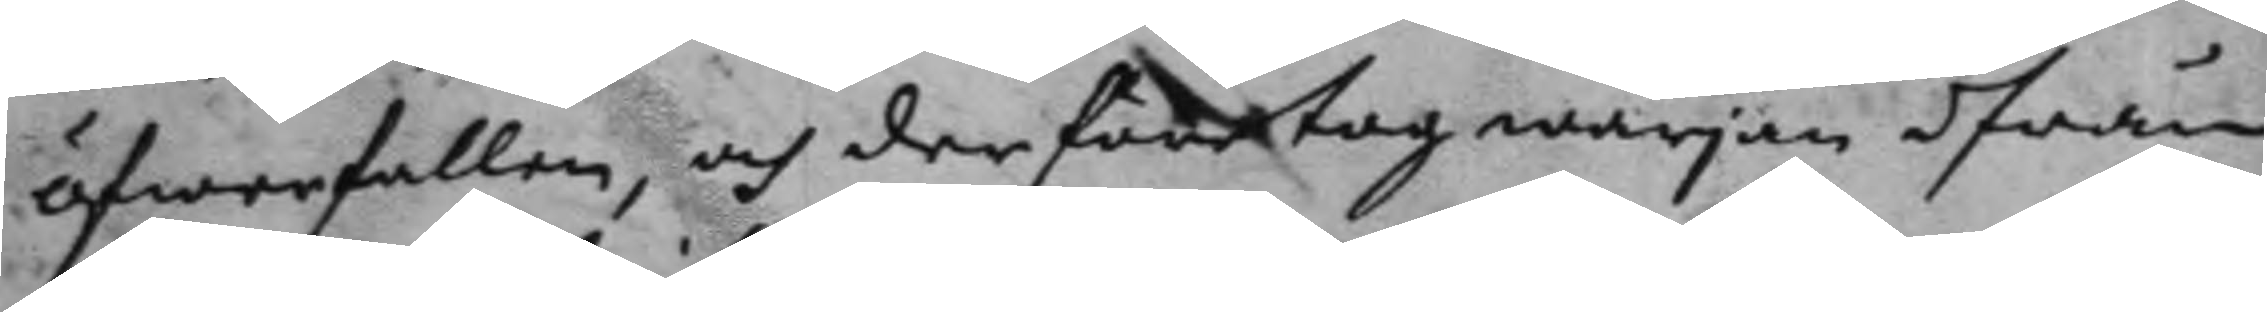öfwerfallen, och der företog wärjan ifrån
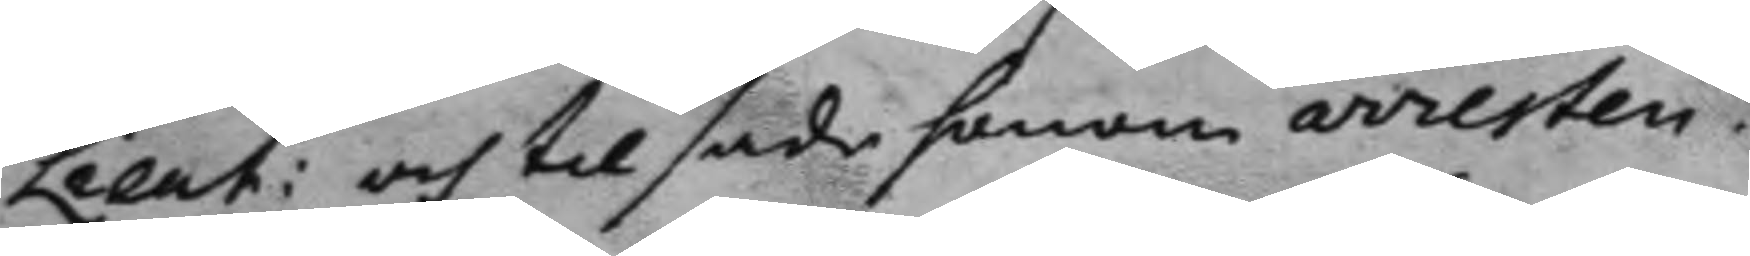Lieut: och til sade honom arresten.
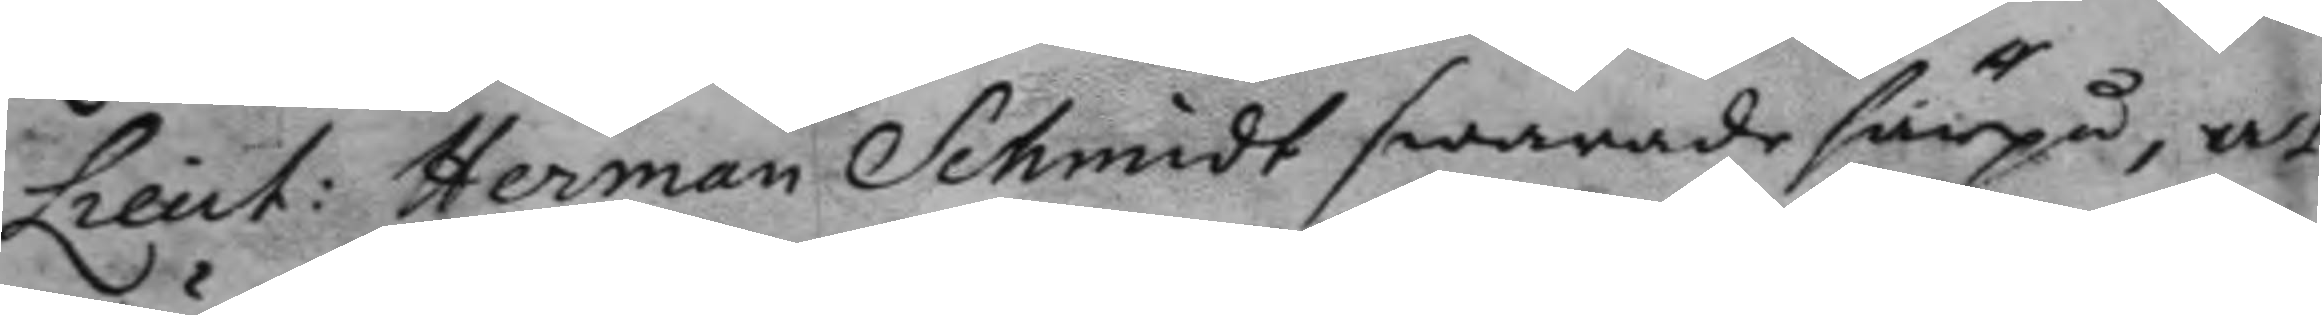Lieut: Herman Schmidt swarade härpå, at
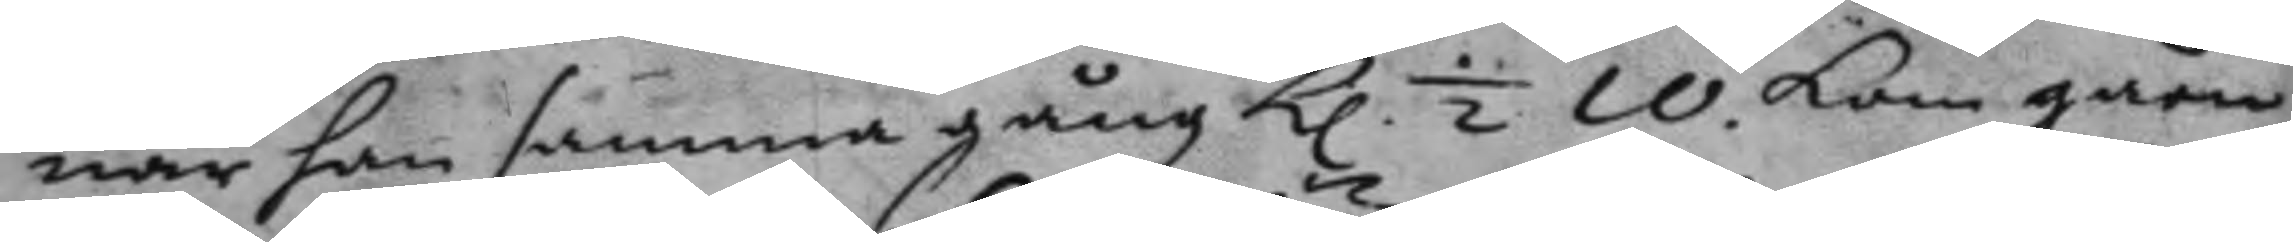när han samma gång kl. ½ 10. kom gåen¬
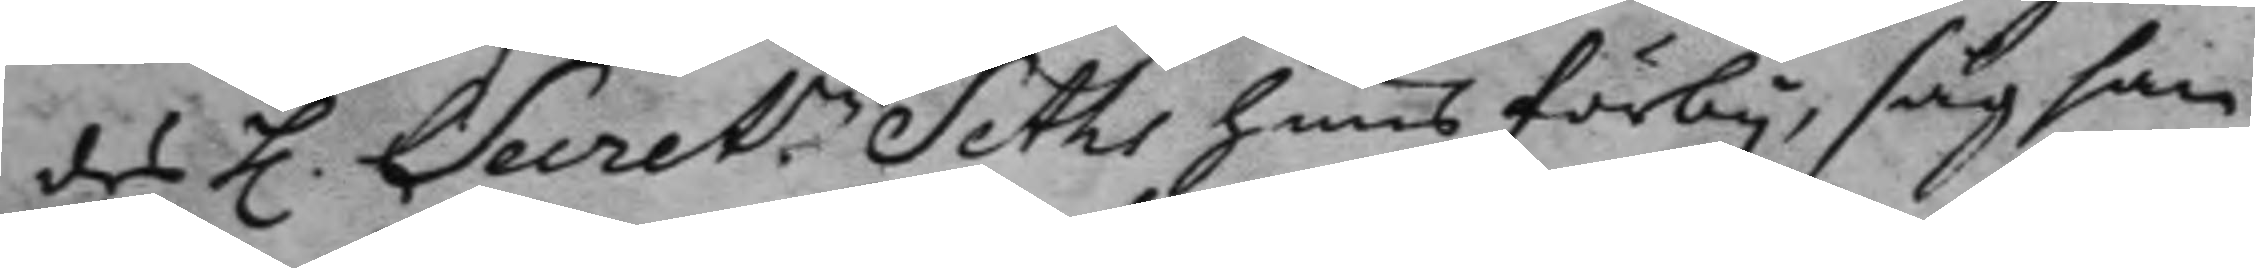des h. Secret.n Seths huus förby, såg han
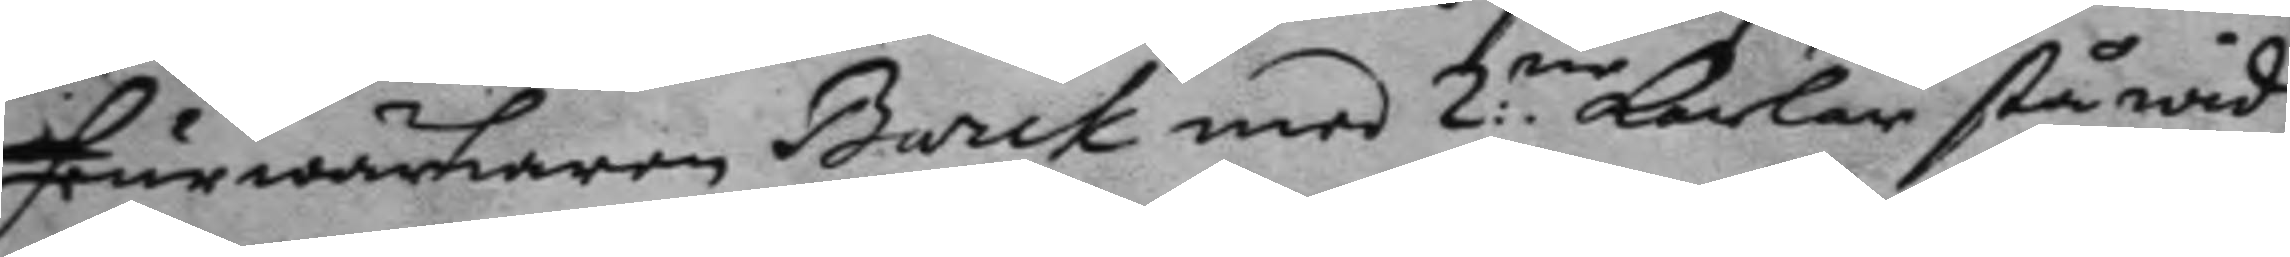feurwärkaren Barck med 2:ne karlar stå wid
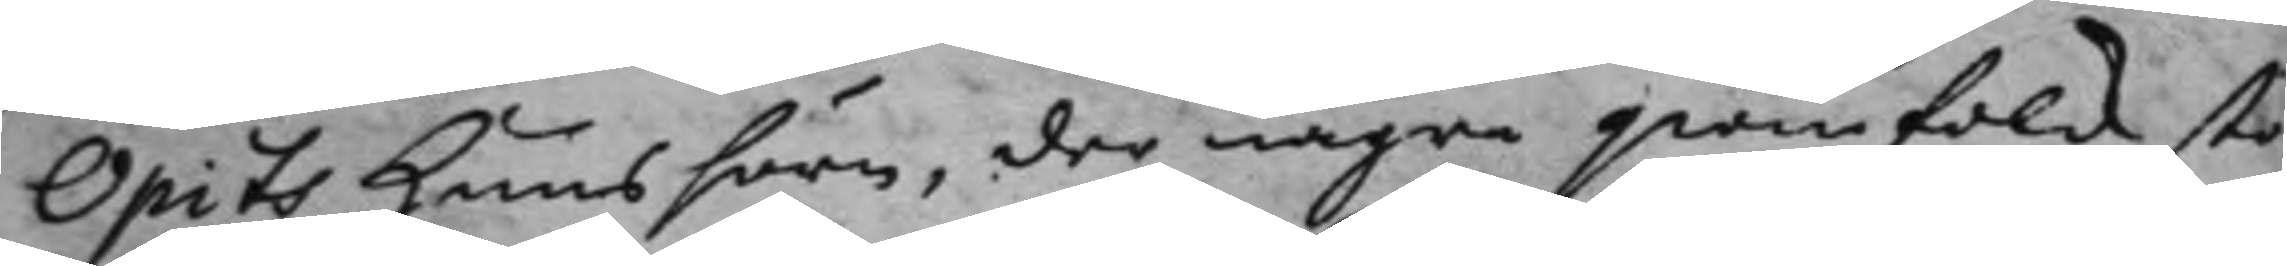Opits huus hörn, der någre qwinfolk sto¬
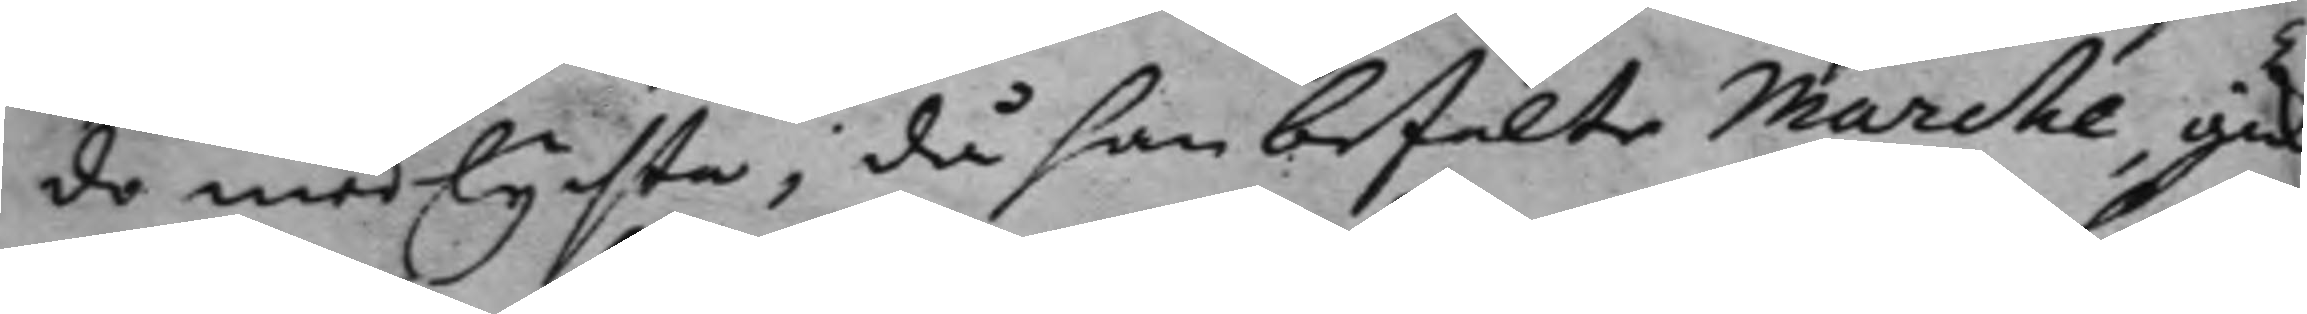do med lyfte, då han befalte Marche, gick
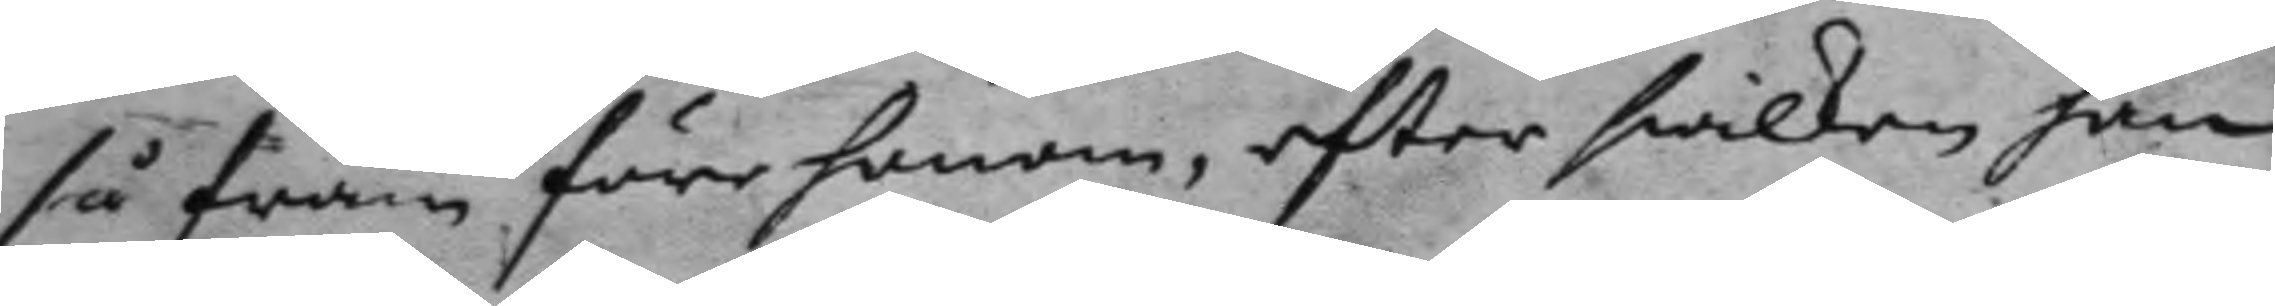så fram före honom; efter hwilken han
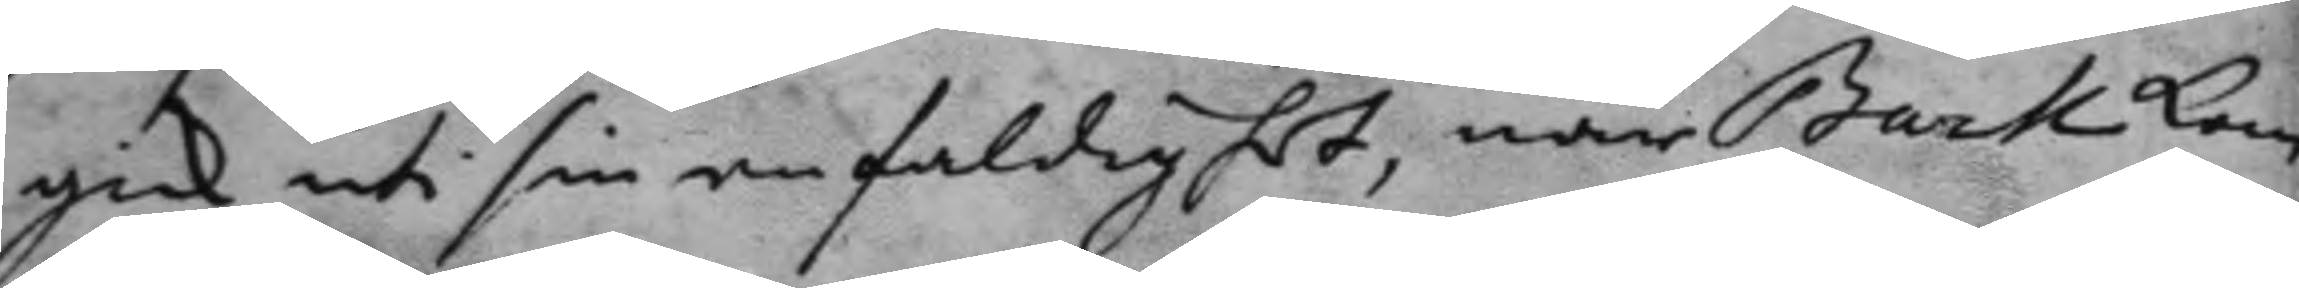gick uti sin enfaldighet, när Bark kom
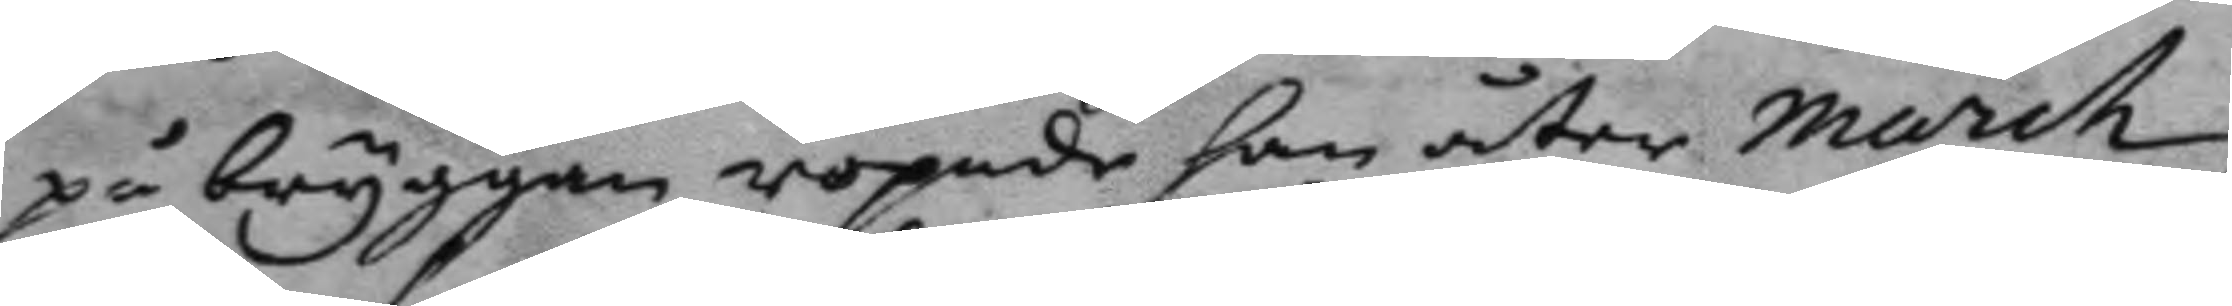på bryggan ropade han åter March,
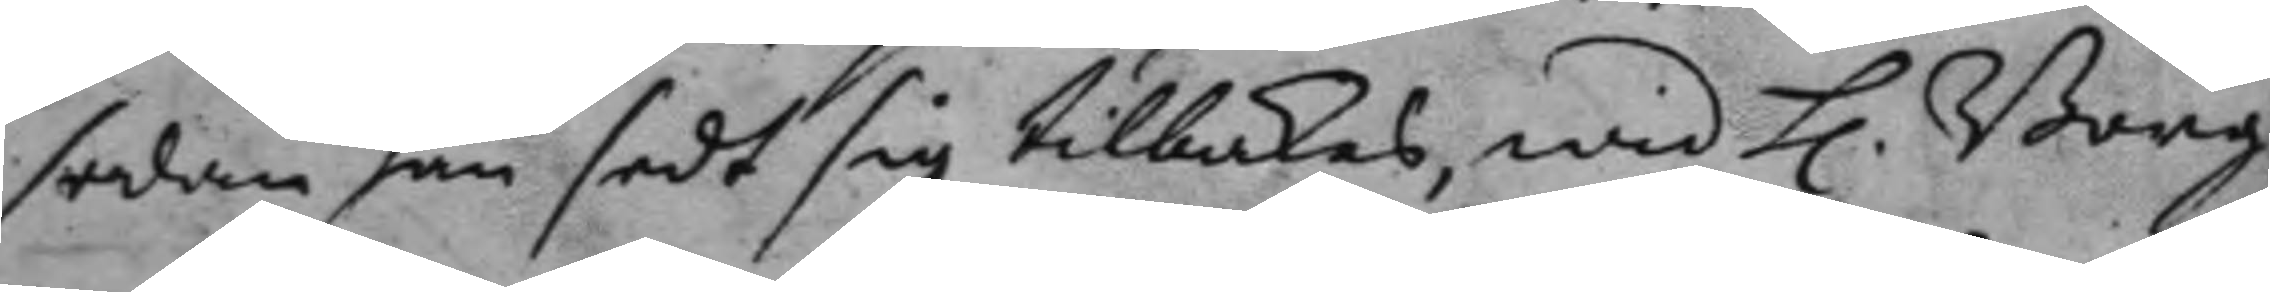sedan han sedt sig tillbakas, wid h. Borg¬
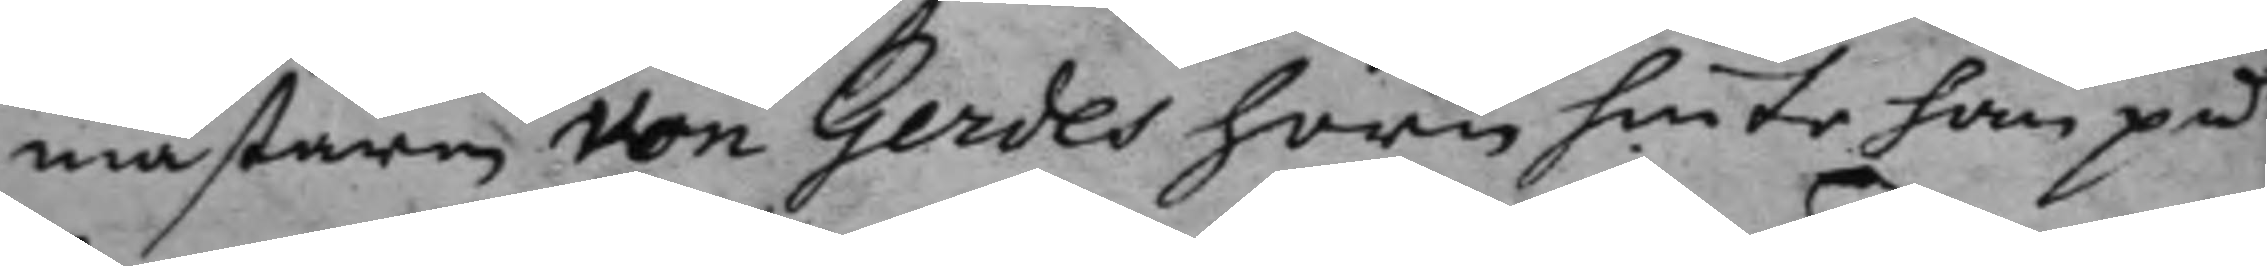mästaren von Gerdes hörn hinte han på
